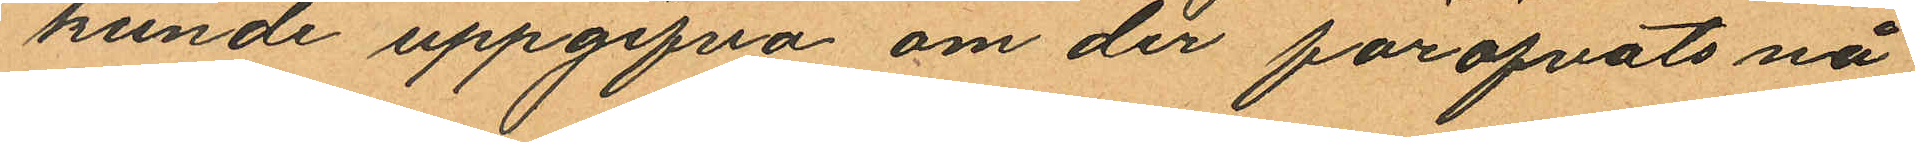kunde uppgifva om der föröfvats nå¬
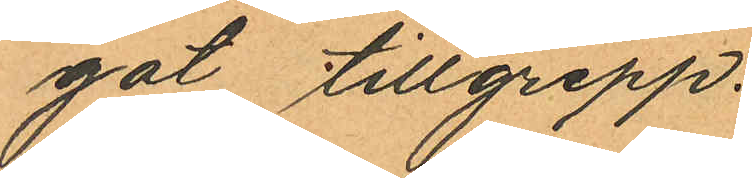got tillgrepp.
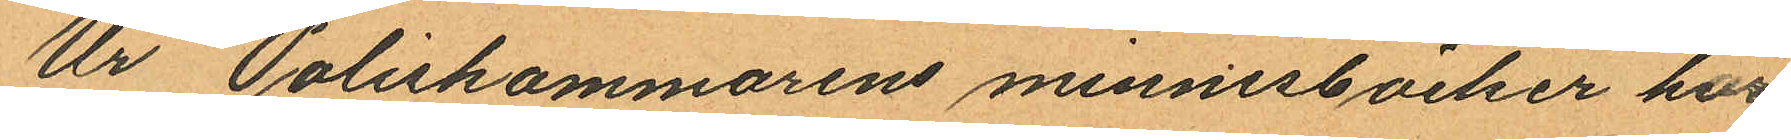Ur Poliskammarens minnesböcker har
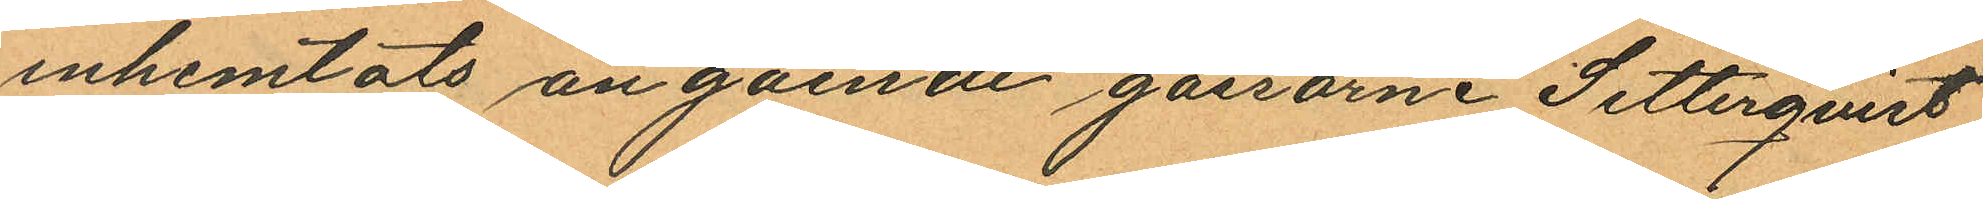inhemtats angående gossarne Setterqvist
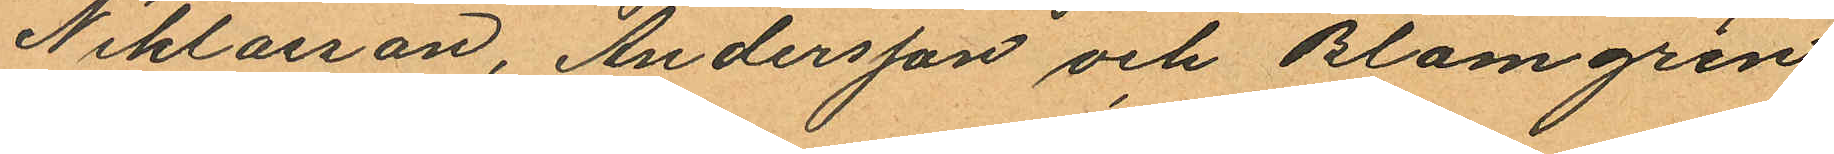Niklasson, Andersson och Blomgren
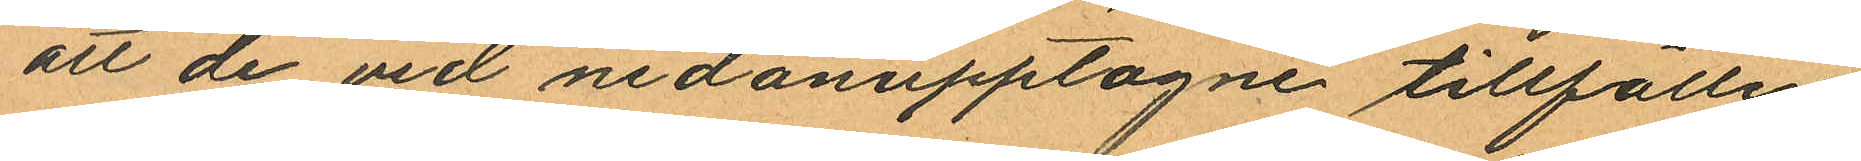att de vid nedanupptagne tillfällen
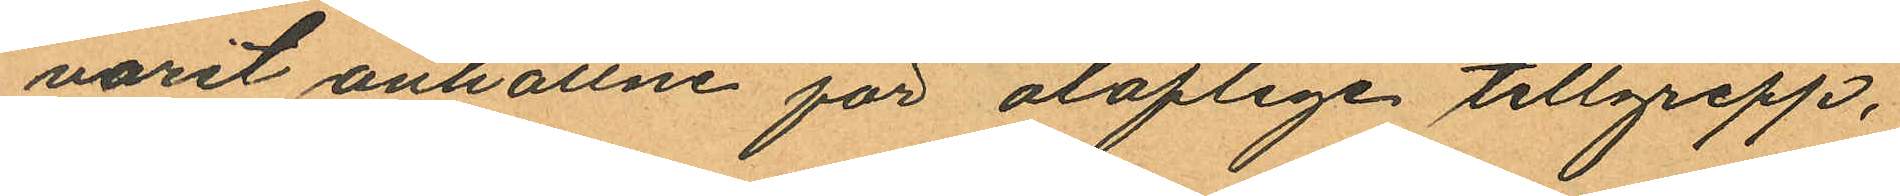varit anhållne för oloflige tillgrepp,
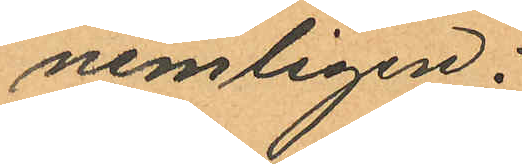nemligen:
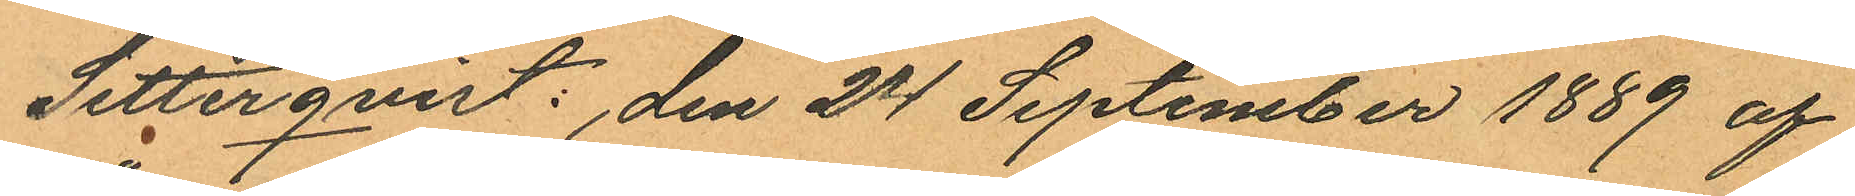Setterqvist: den 24 September 1889 af
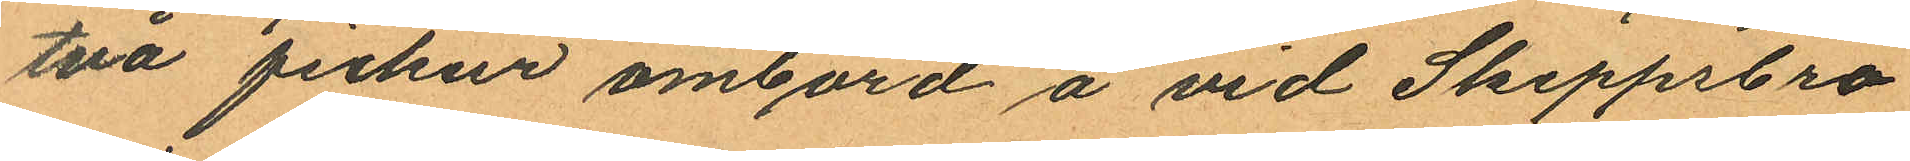två fickur ombord å vid Skeppsbro
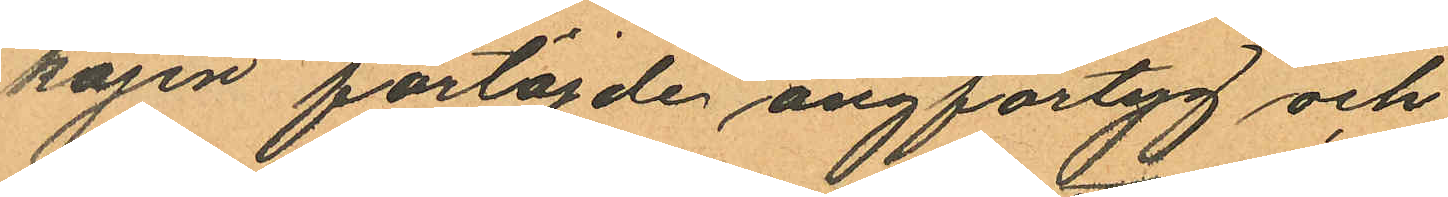kajen förtöjde ångfartyg och
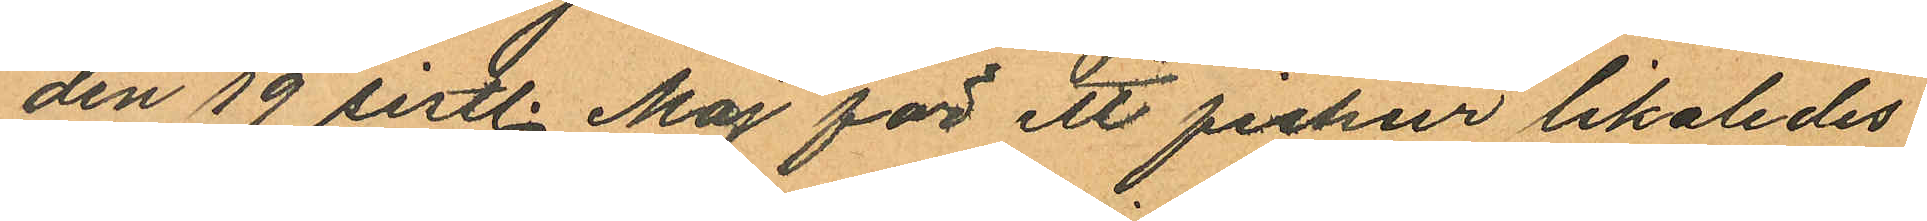den 19 sistl. Maj för ett fickur likaledes
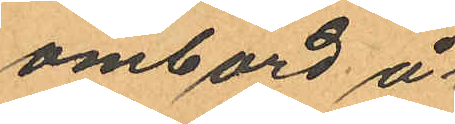ombord å
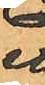ett
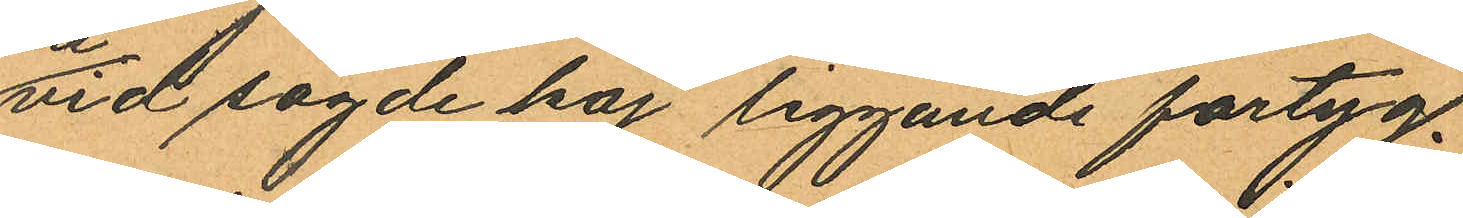vid sagde kaj liggande fartyg.
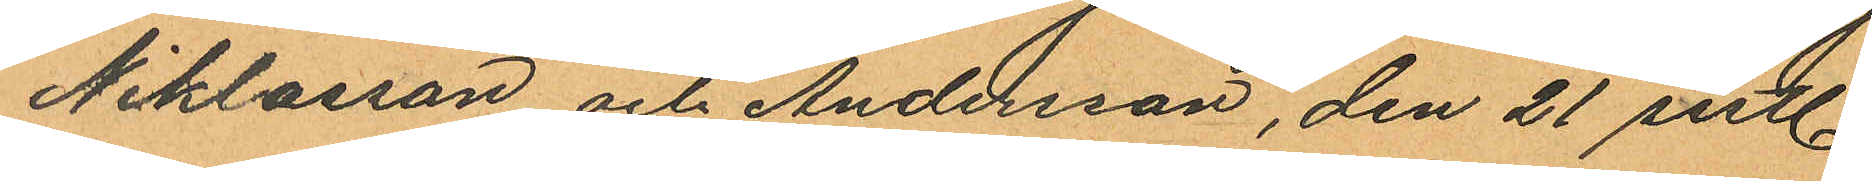Niklasson och Andersson, den 21 sistl.
